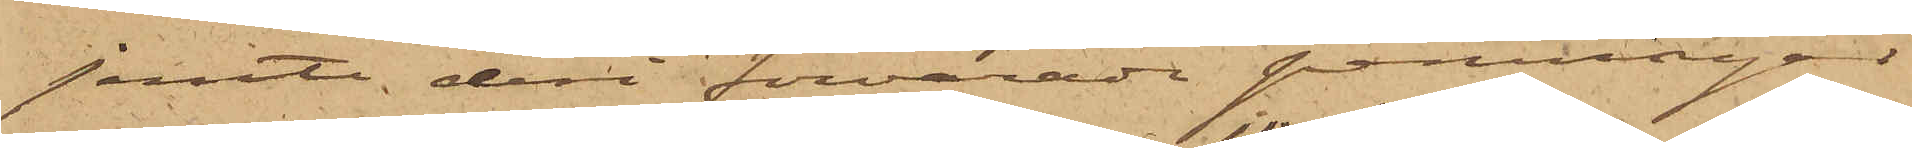jemte deri förvarade penningar
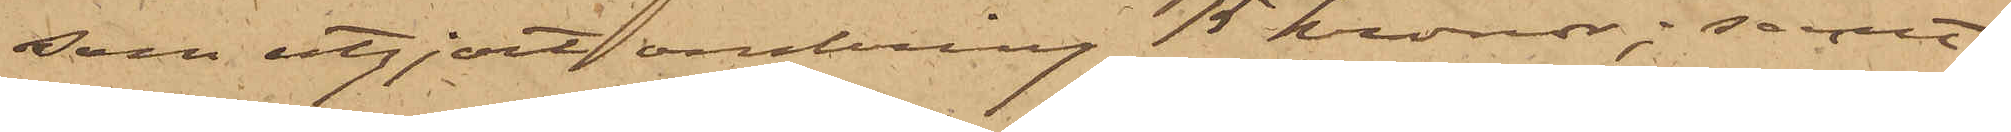som utgjort omkring 15 kronor; samt
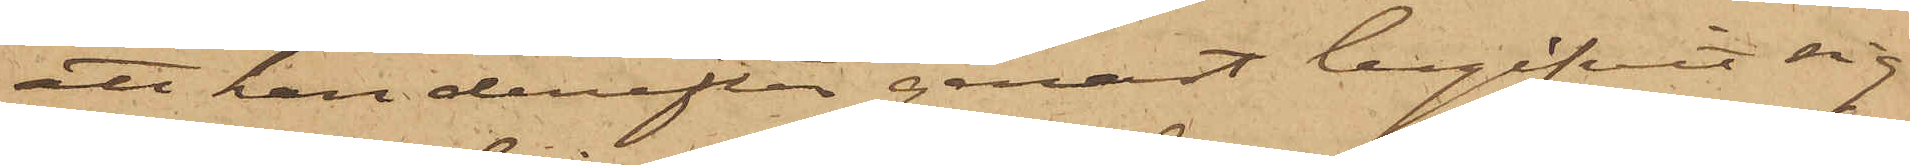att han derefter genast begifvit sig
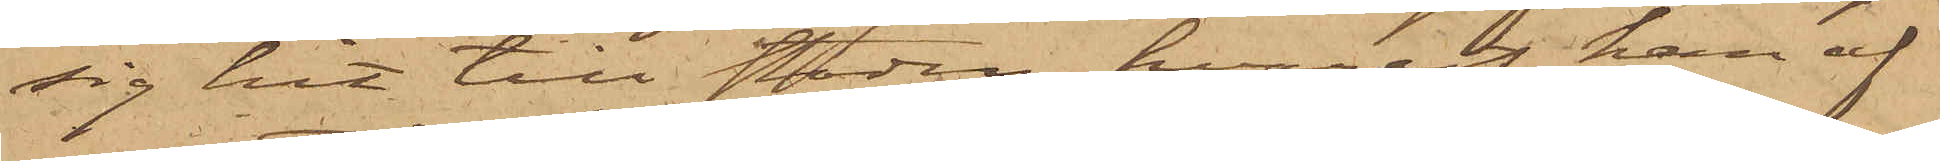sig hit till staden, hvarest han af
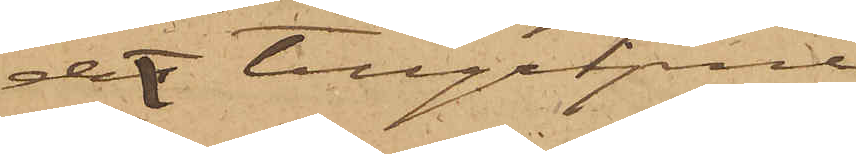det tillgripne
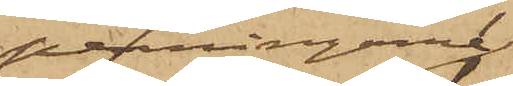penningarne
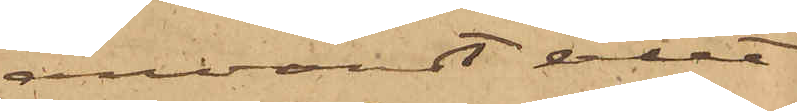användt allt¬
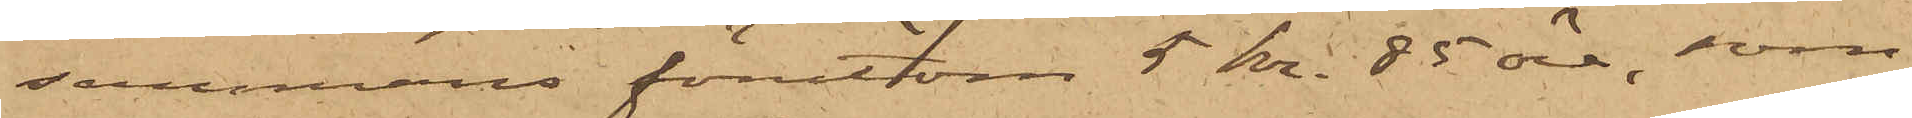sammans förutom 5 Kr. 85 öre, som
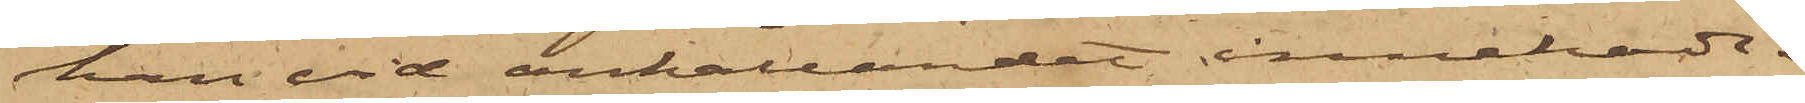han vid anhållandet innehade.
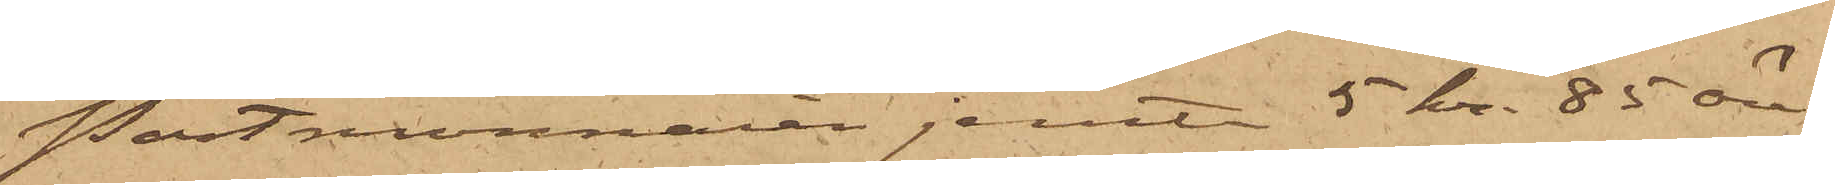Portmonnaien jemte 5 kr. 85 öre
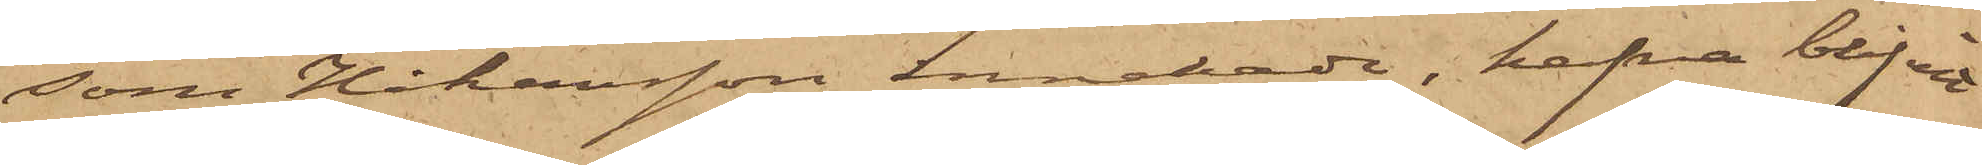som Johansson innehade, hafva blifvit
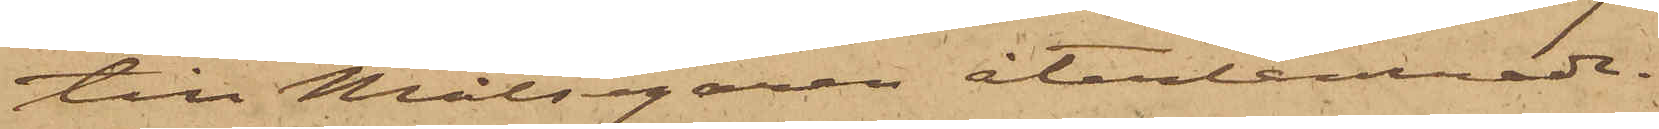till Målsegaren återlemnade.
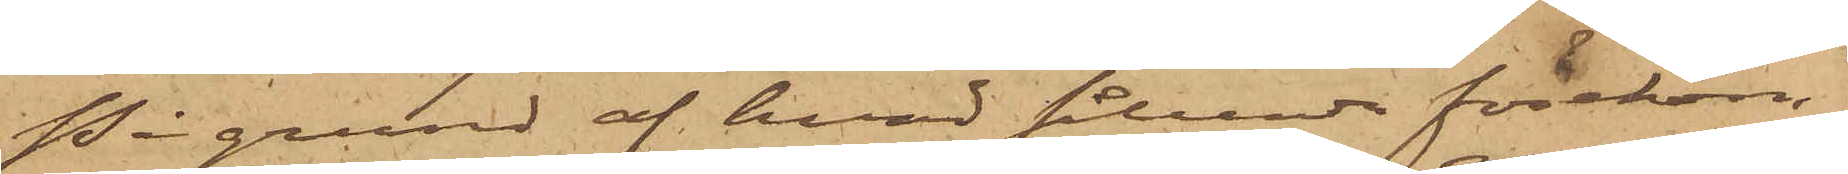På grund af hvad sålunda förekom¬
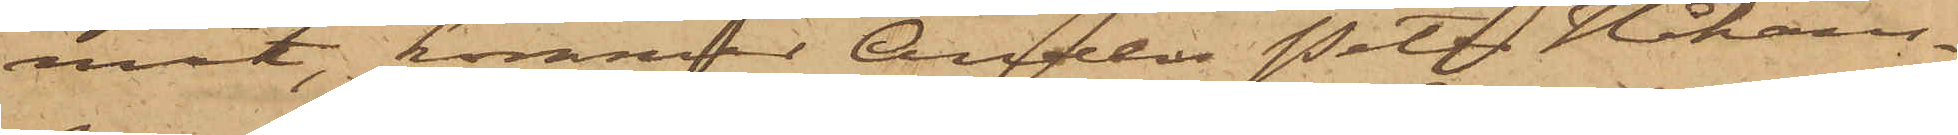mit, kommer Anders Peter Johans¬
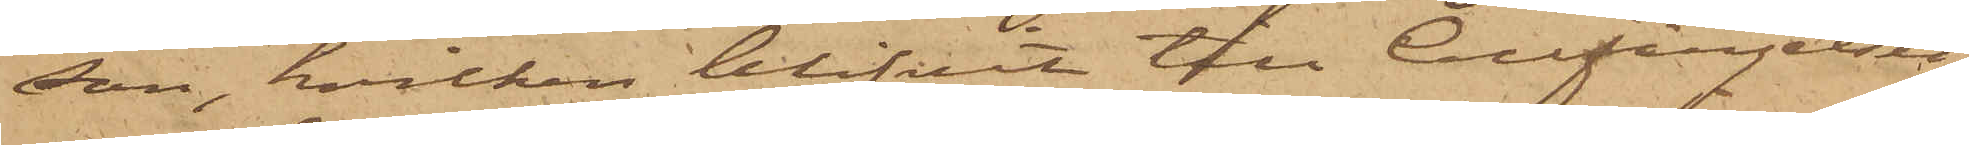son, hvilken blifvit till Cellfängelset
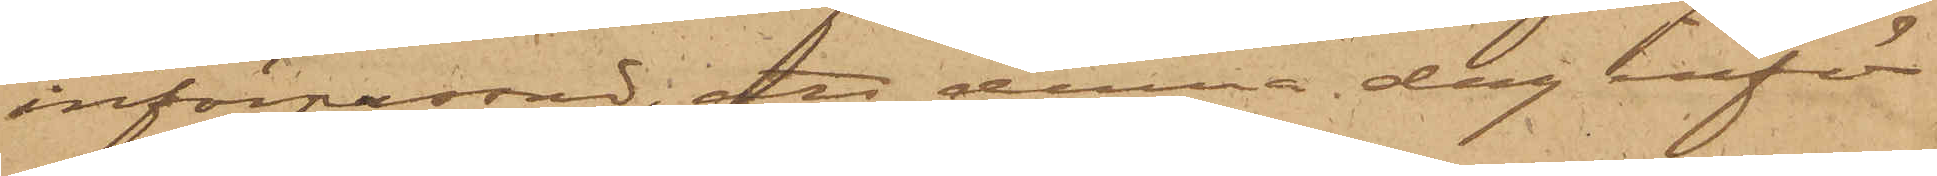införpassad; att denna dag inför
